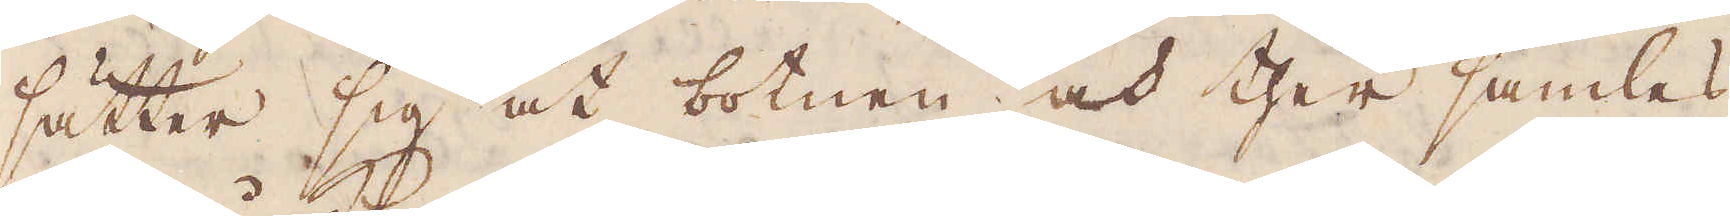sätter sig åt botnen och ther samlas
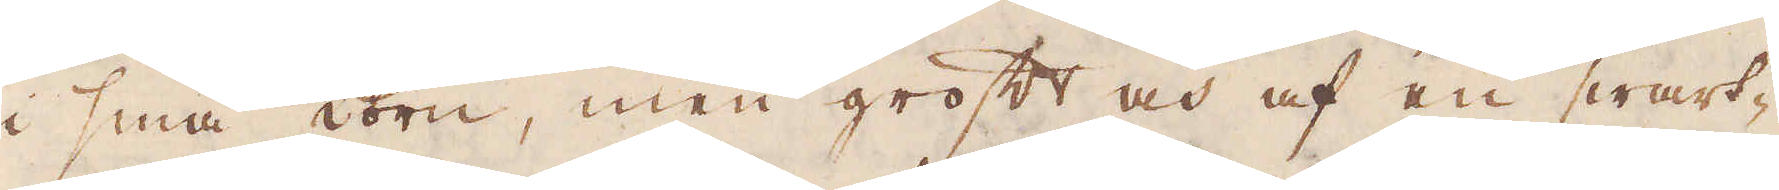i små korn, men groft och af en swart-
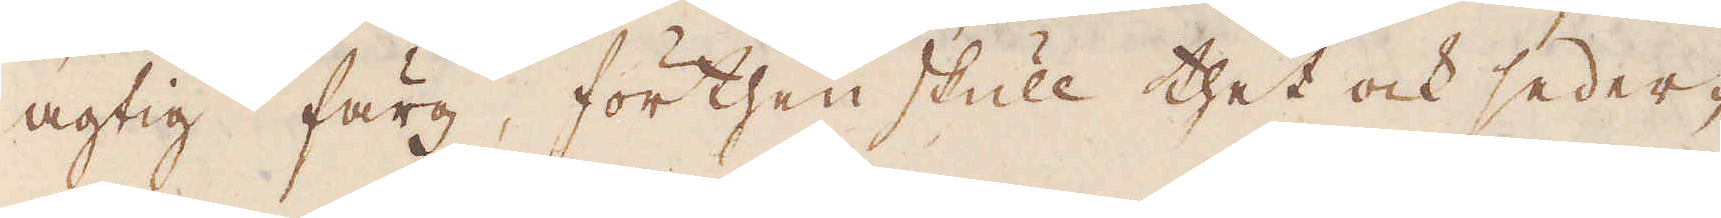agtig färg, förthenskull thet och seder-
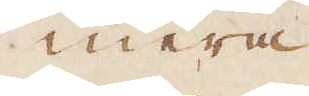mera
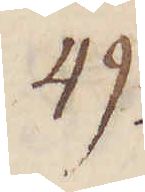49.
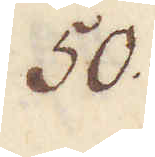50.
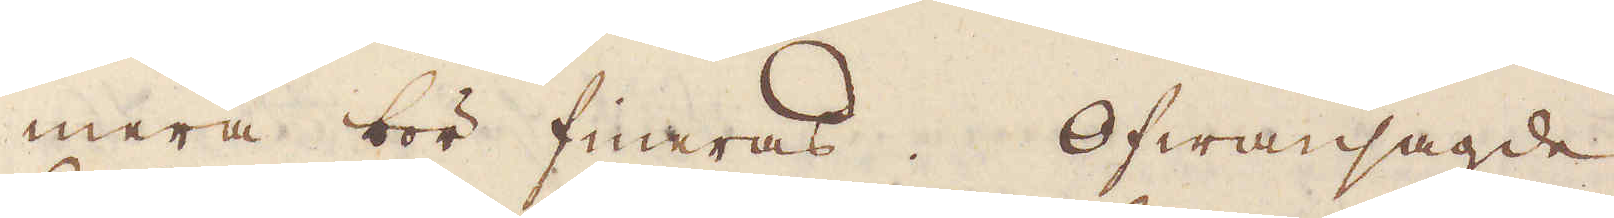mera bör fineras. Ofwansagde
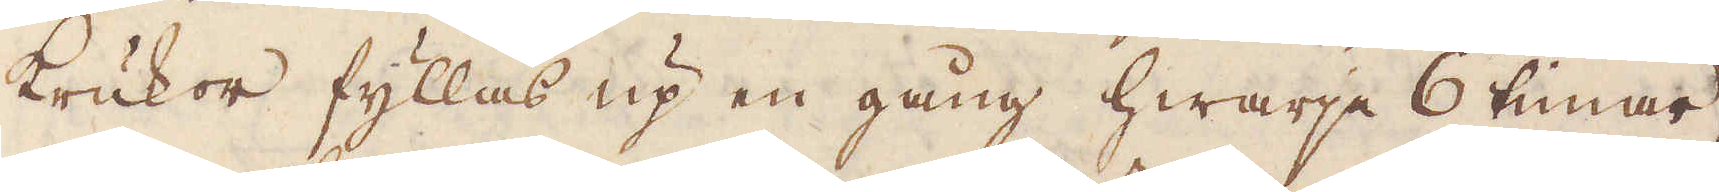krukor fyllas up en gång hwarje 6 timar,
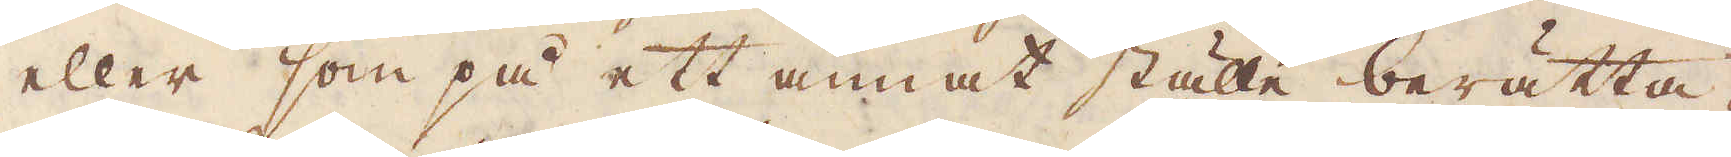eller som på ett annat ställe berätta-
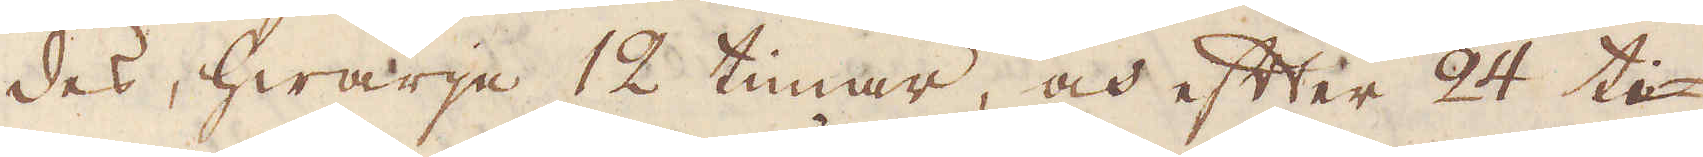des, hwarje 12 timar, och efter 24 ti-
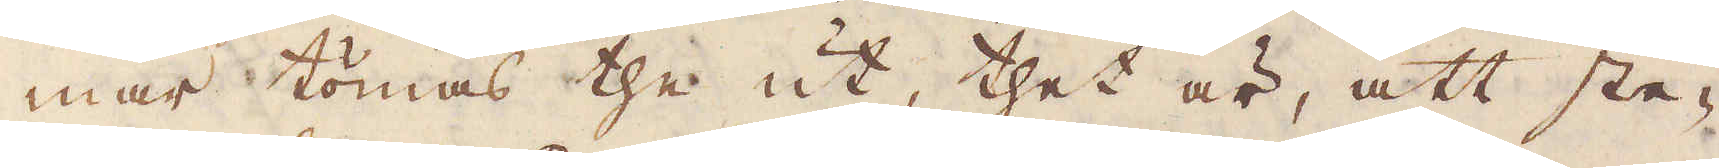mar tömas the ut thet ur, att ste-
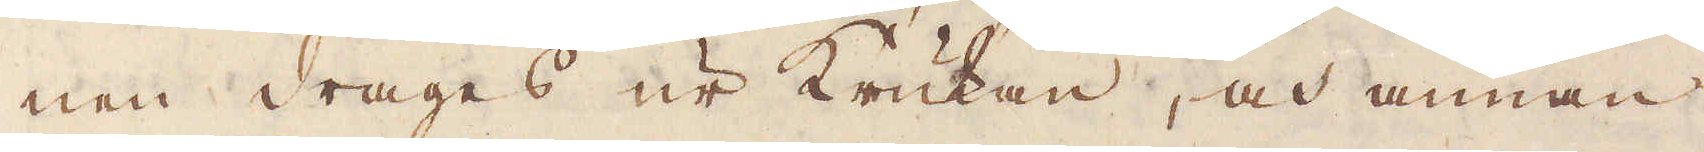nen drages ur Krukan, och annan
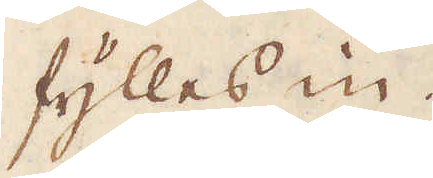fylles in.
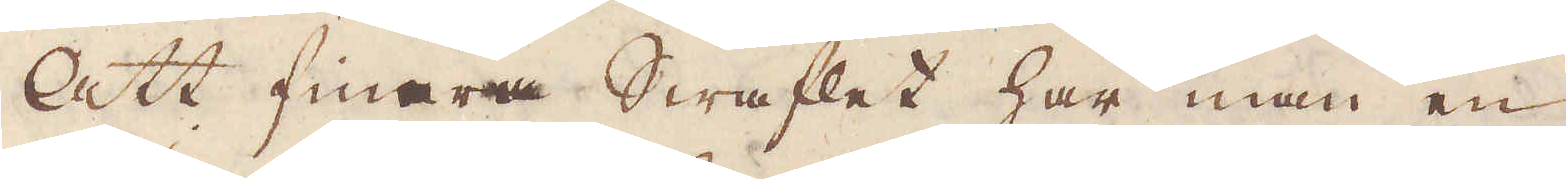Att finara Swaflet har man en
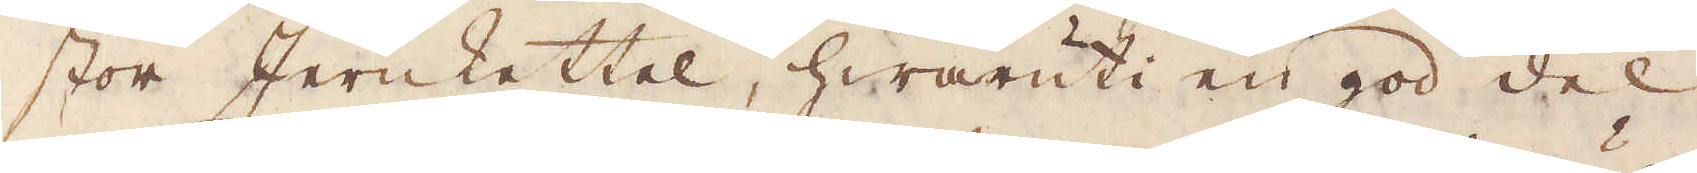stor Jernkettel, hwaruti en god del
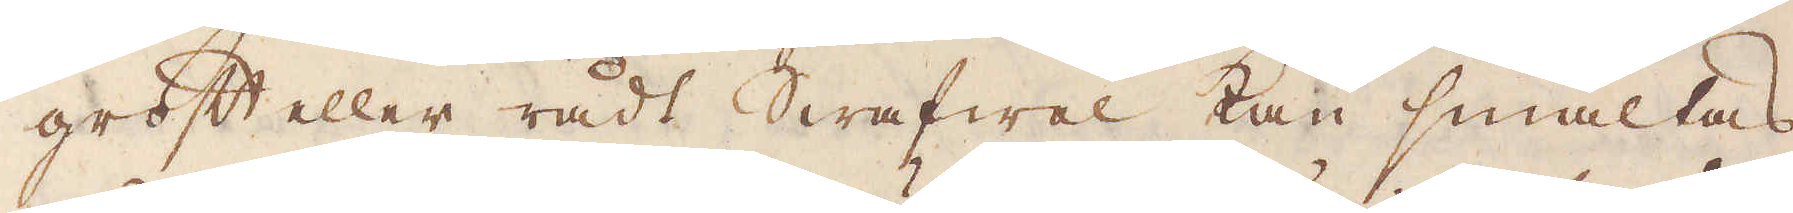groft eller rådt Swafwel kan smältas
